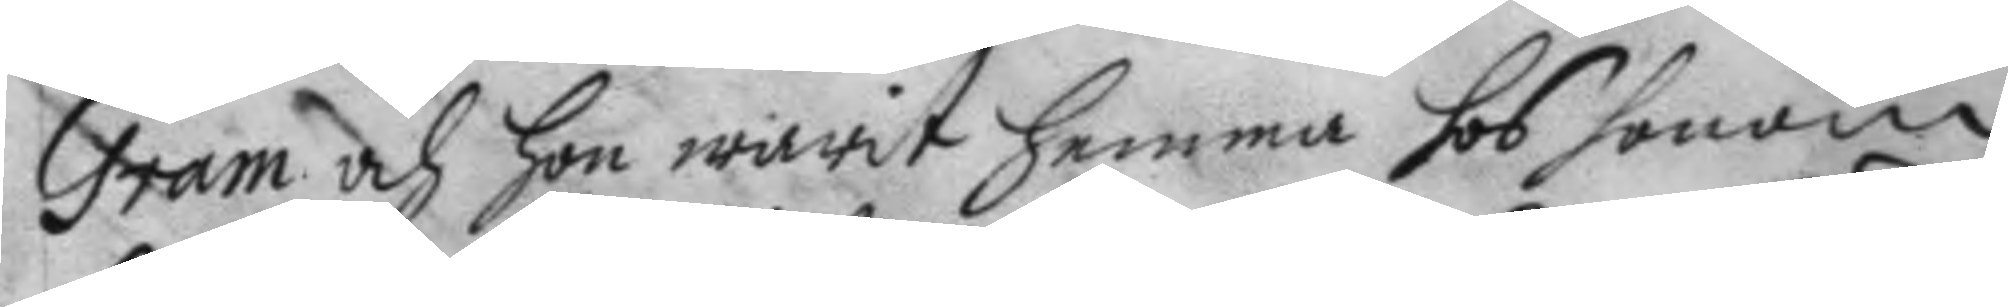Gram och Hon warit hemma hos honom
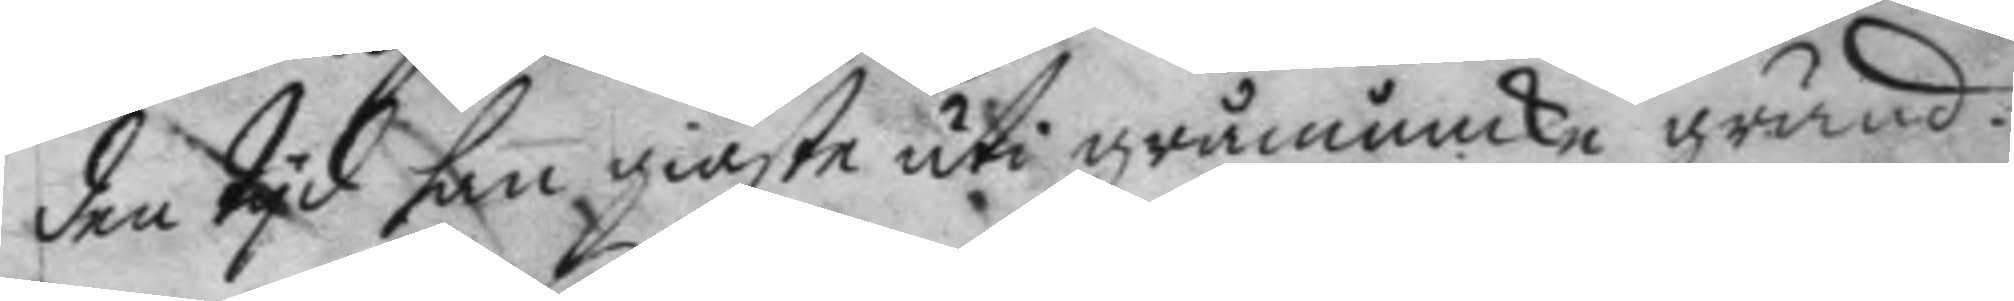den tyd han giäste uti gråmunke gränd.
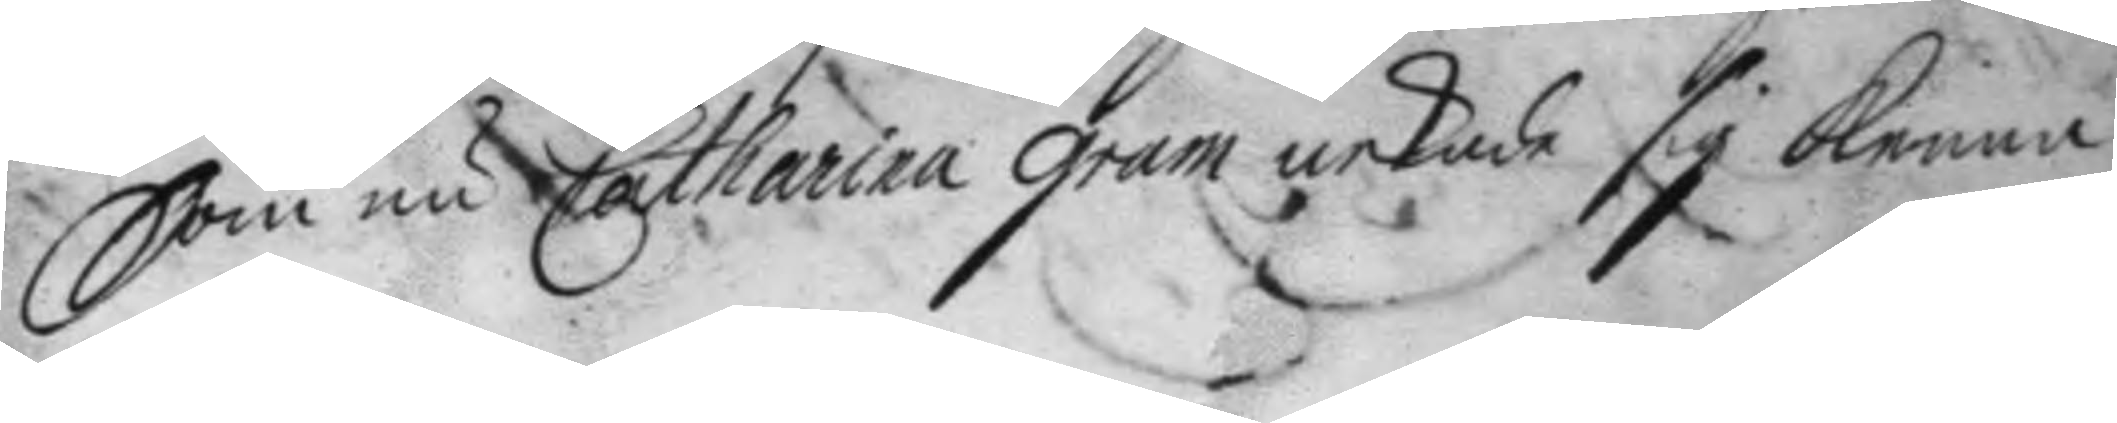Som nu Catharina Gram nekade sig kenna
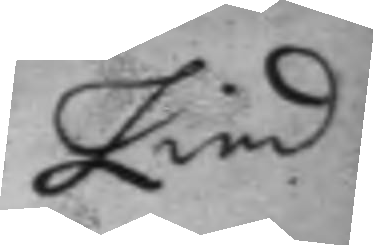Lind
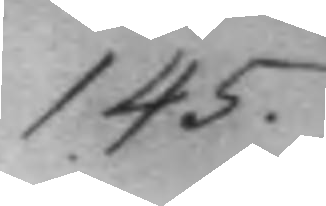145.
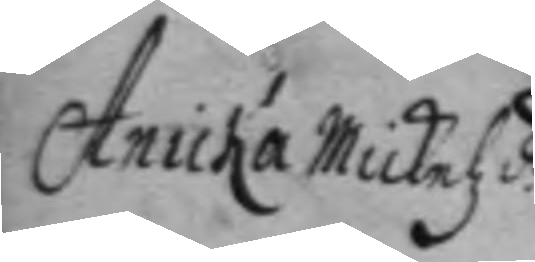Anicka Mickelz d.r 
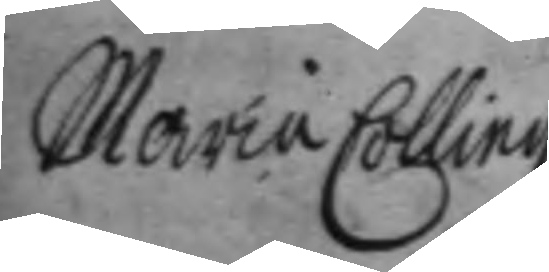Maria Colling
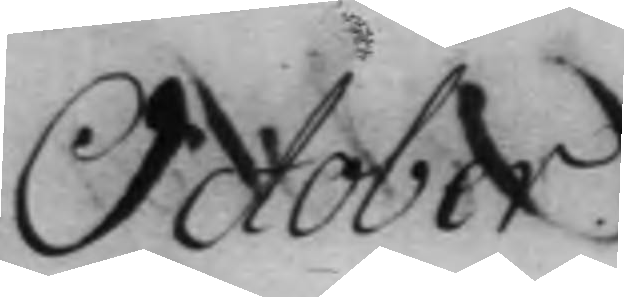October.
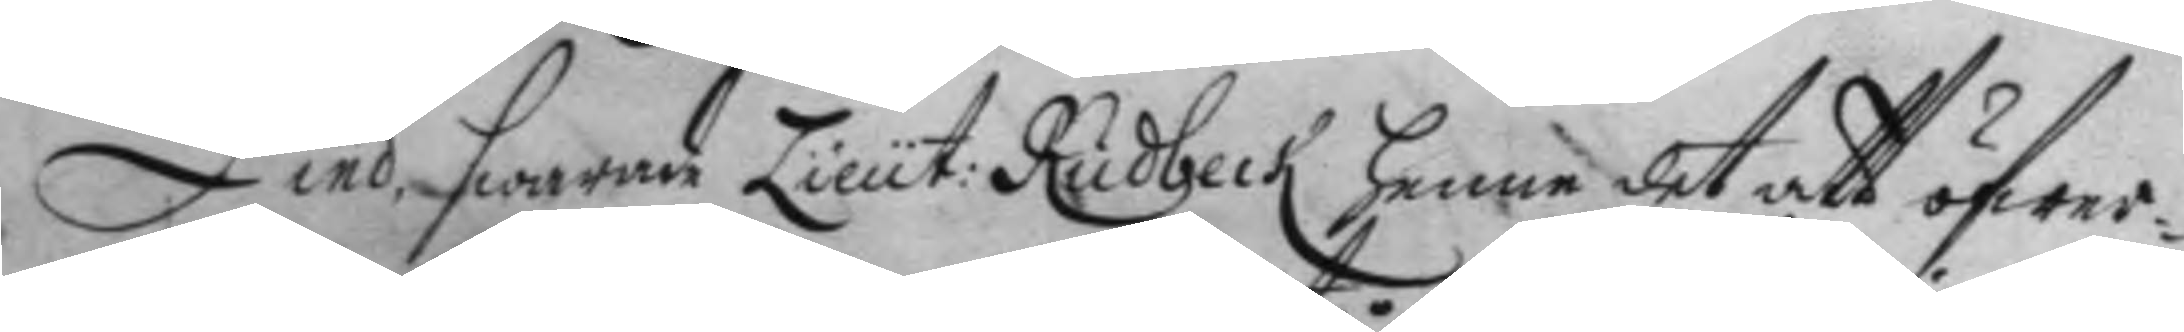Lind, swarade Lieut: Rudbeck henne det att öfwer¬
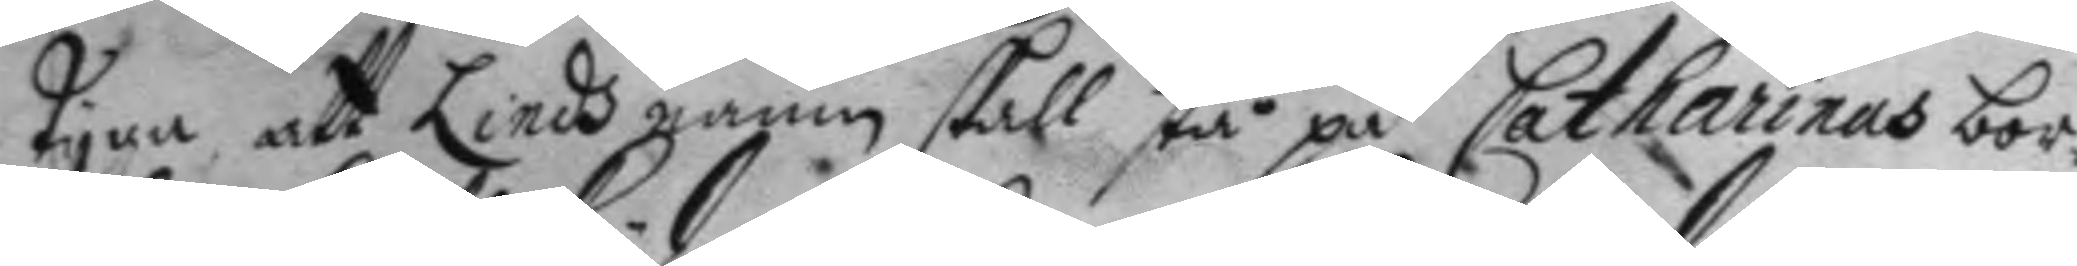tyga, att Lieds namn skall stå på Catharinas bor¬
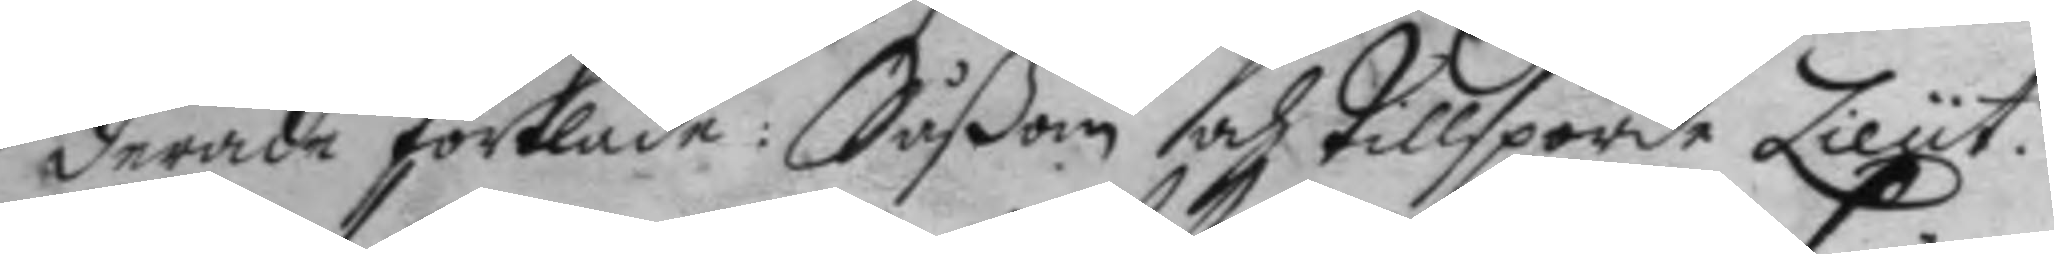derade förkläde: Såßom och tillsporde Lieut: 
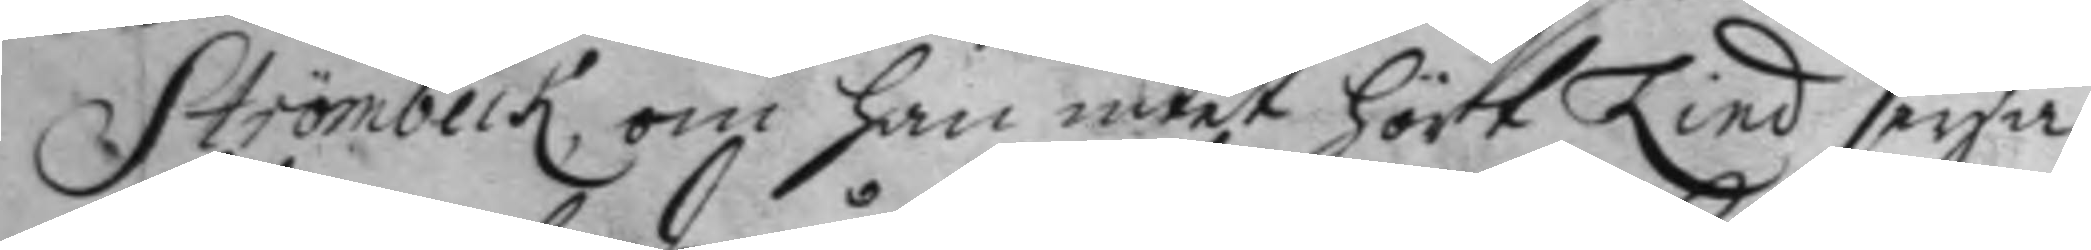Strömbeck, om han intet hört Lind seya
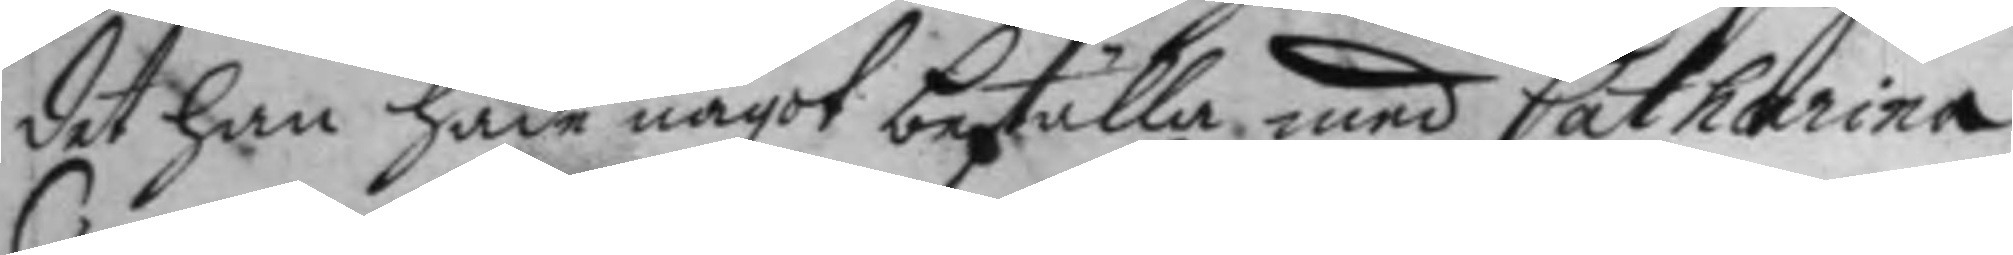det han hade något beställa med Catharina
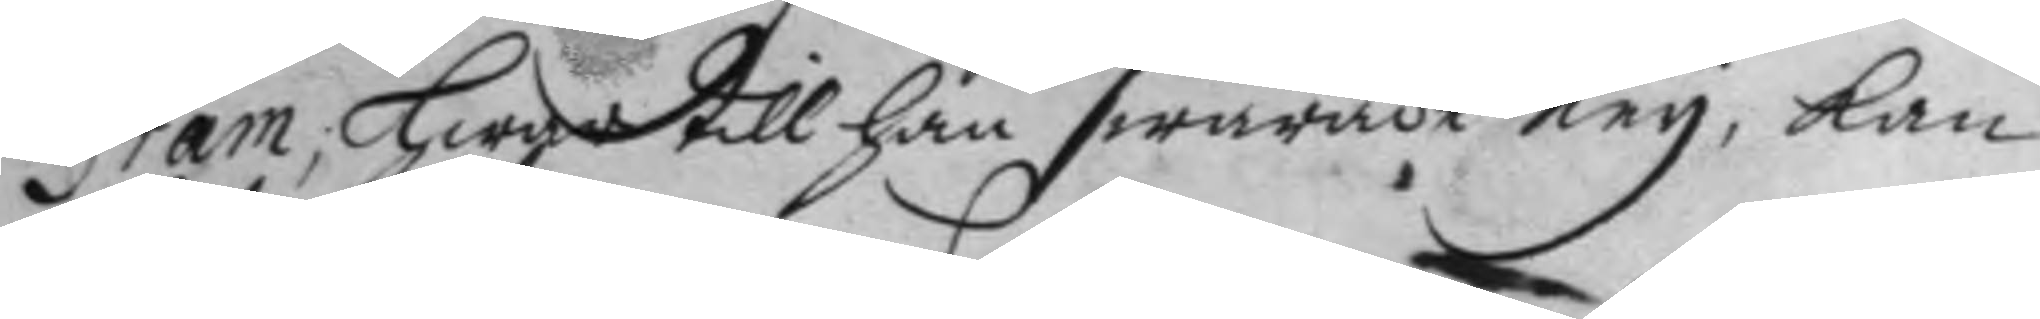Gram, hwar till han swarade Ney, kan
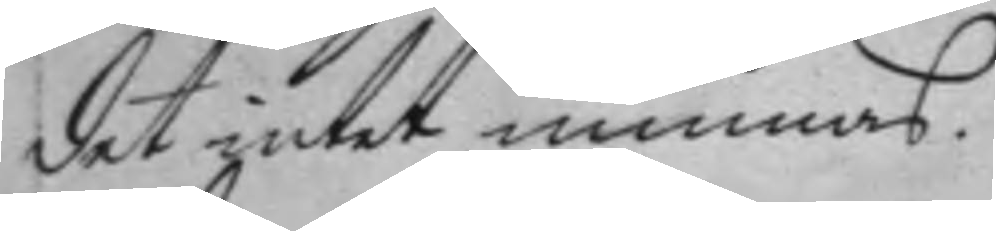det intet minnas.
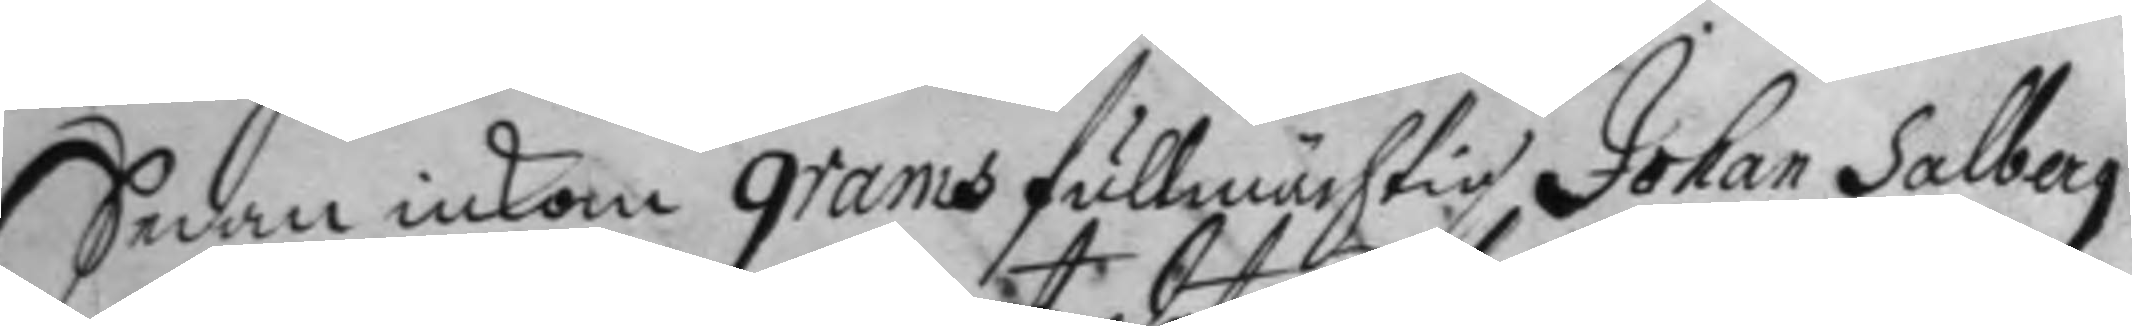Sedan inkom grams fullmächtig Johan Salberg
